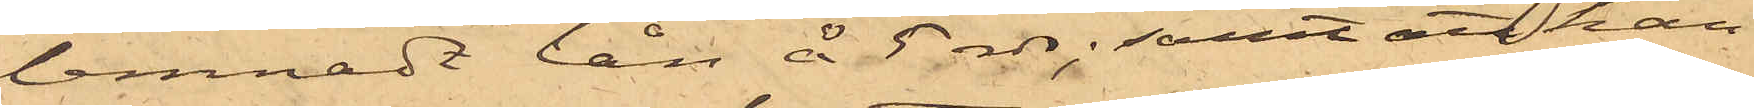lemnadt lån å 5 rdr; samt att han
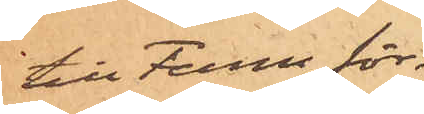till Ferm för¬
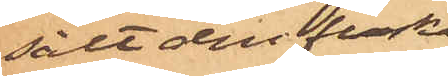sålt den flaska
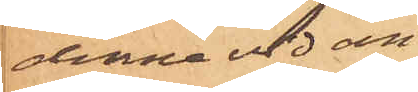denna vid an¬
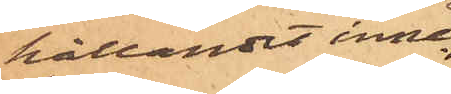hållandet inne¬
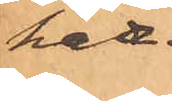hade.
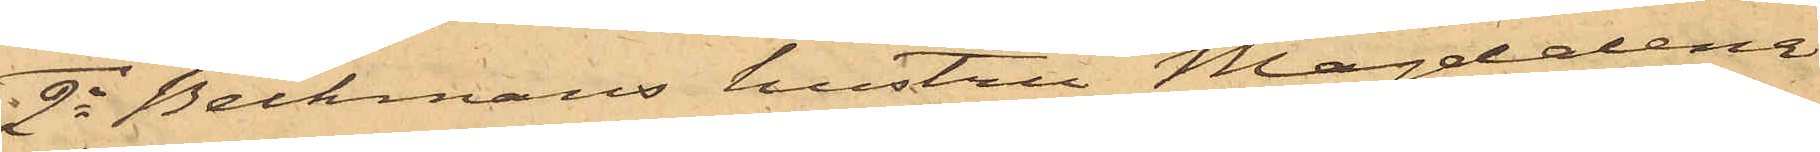2o Beckmans hustru Magdalena
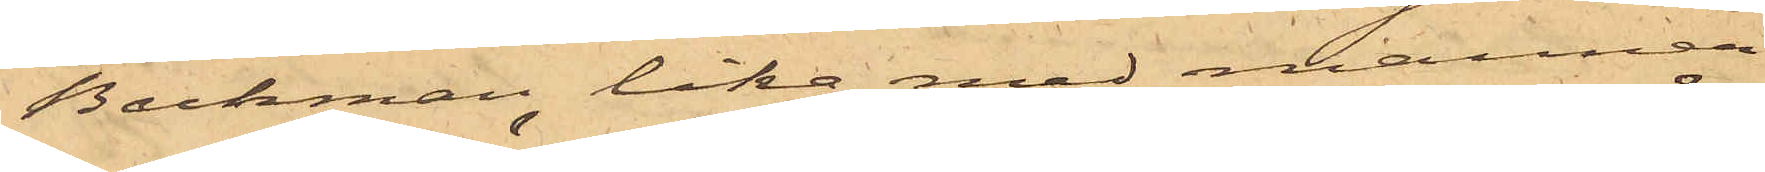Beckman lika med mannen
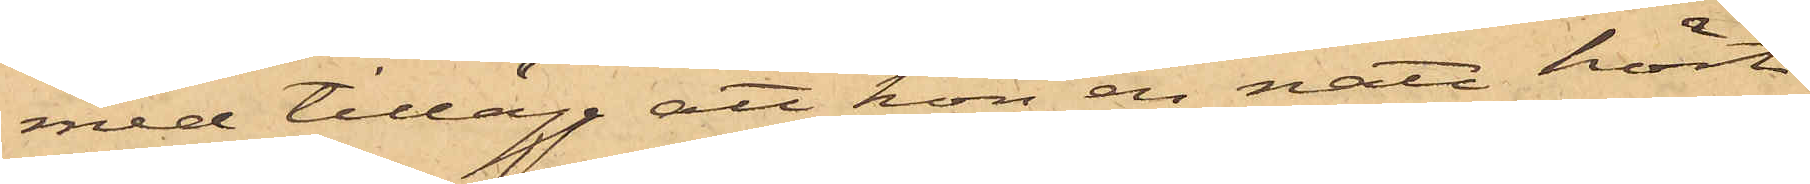med tillägg att hon en natt hört
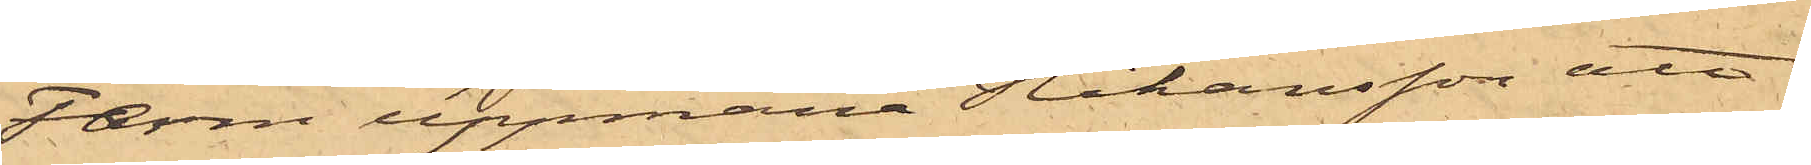Ferm uppmana Johansson, att
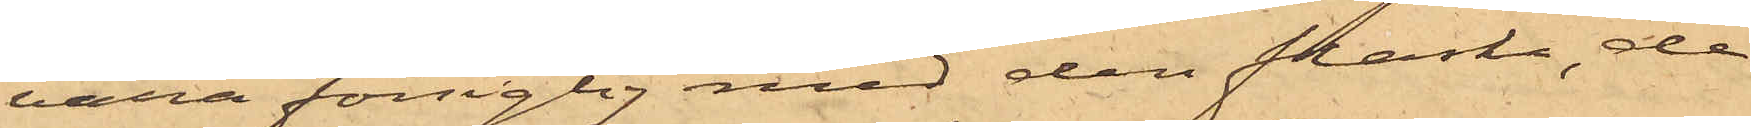vara försigtig med den flaska, de
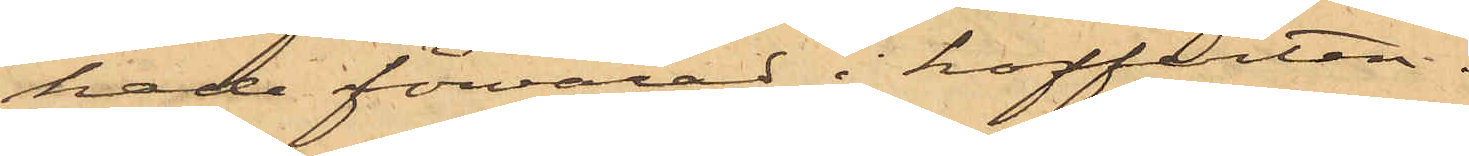hade förvarad i kofferten.
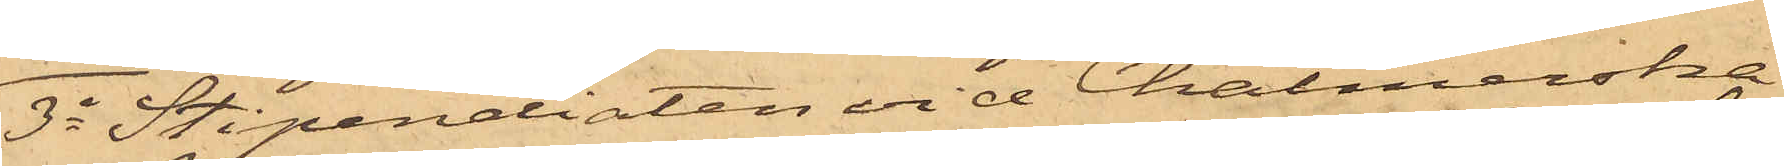3o Stipendiaten vid Chalmerska
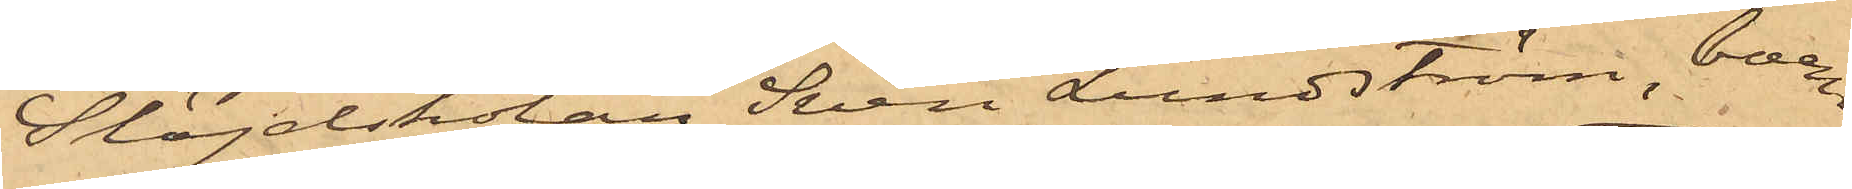Slöjdskolan Sven Lundström, boen¬
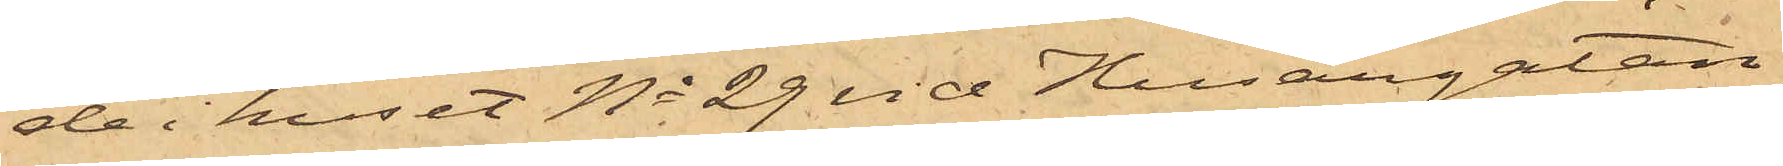de i huset No 29 vid Husargatan,
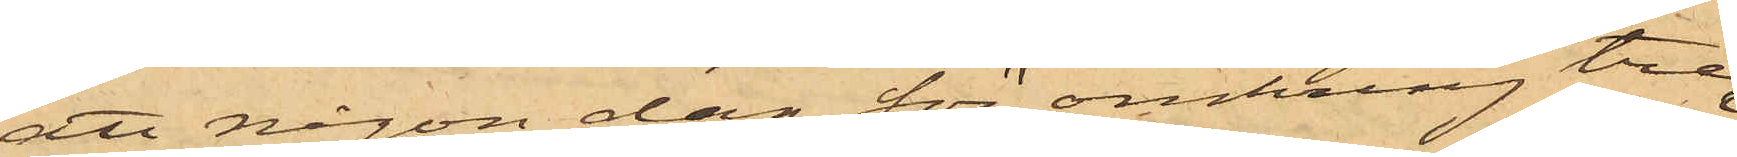att någon dag för omkring tre
